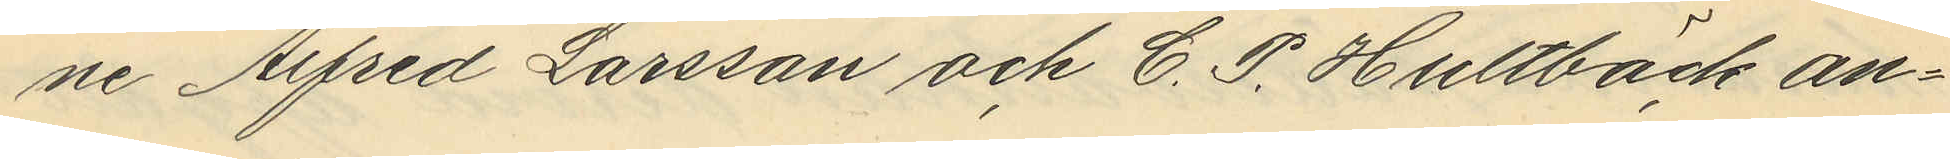ne Alfred Larsson och C. P. Hultbäck an¬
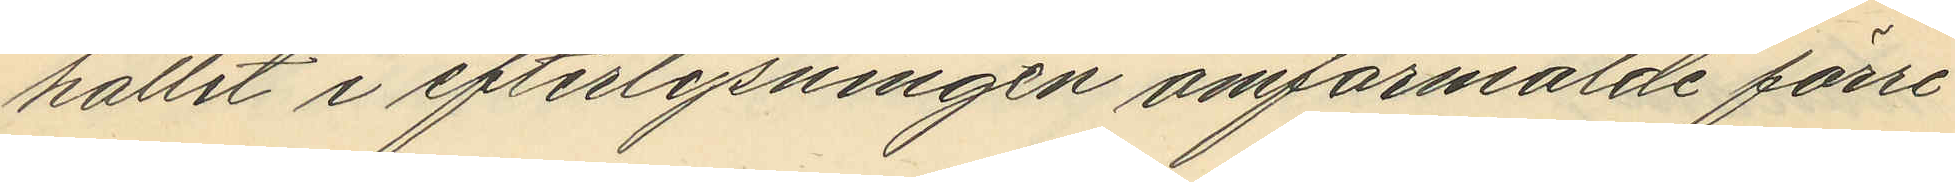hållit i efterlysningen omförmälde förre
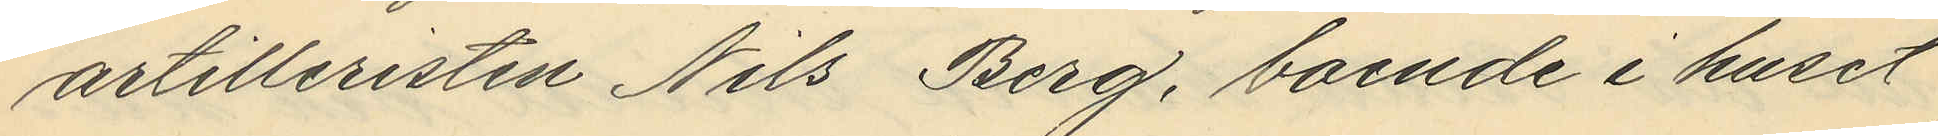artilleristen Nils Berg, boende i huset
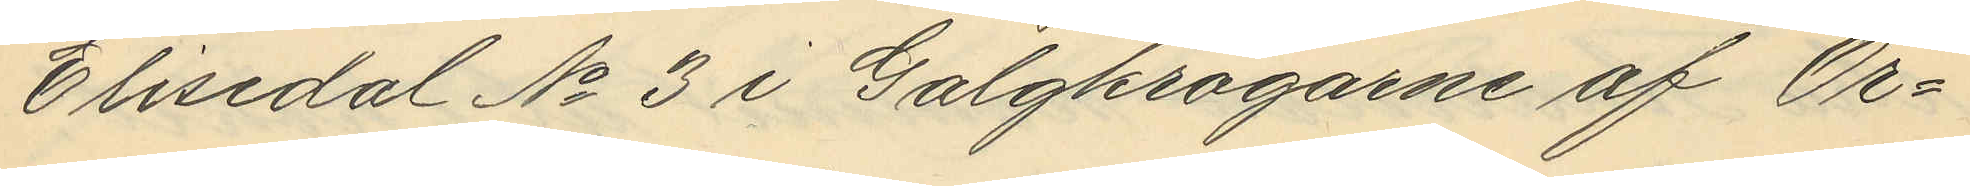Elisedal No 3 i Galgkrogarne af Ör¬
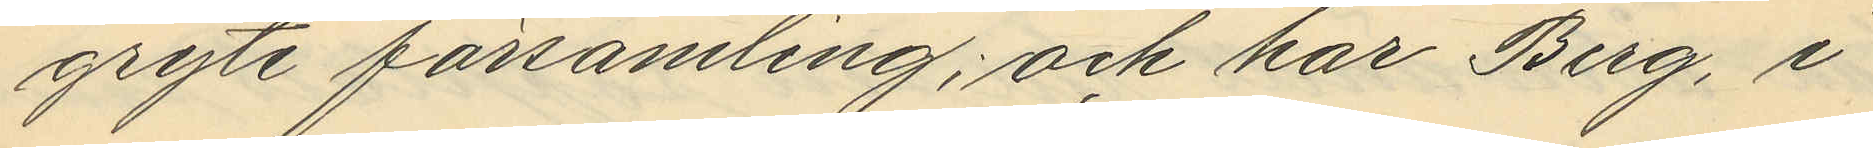gryte församling; och har Berg, i
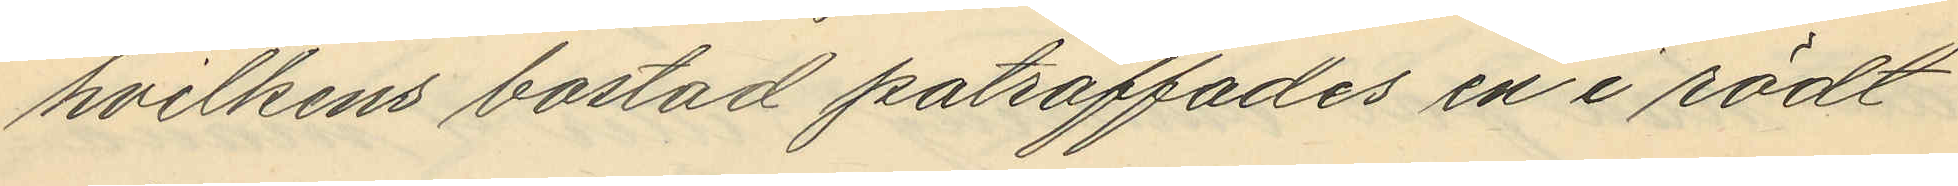hvilkens bostad påträffades en i rödt
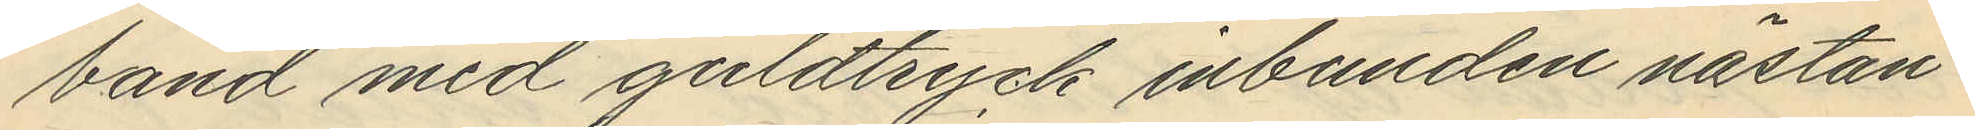band med guldtryck inbunden nästan
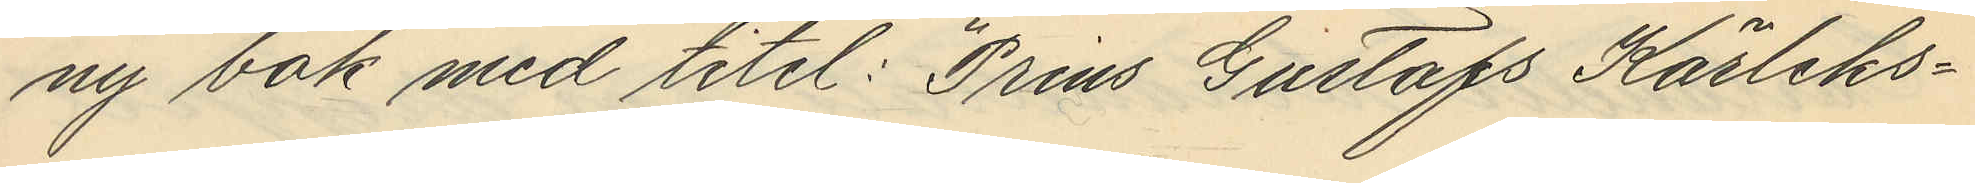ny bok med titel; "Prins Gustafs Kärleks¬
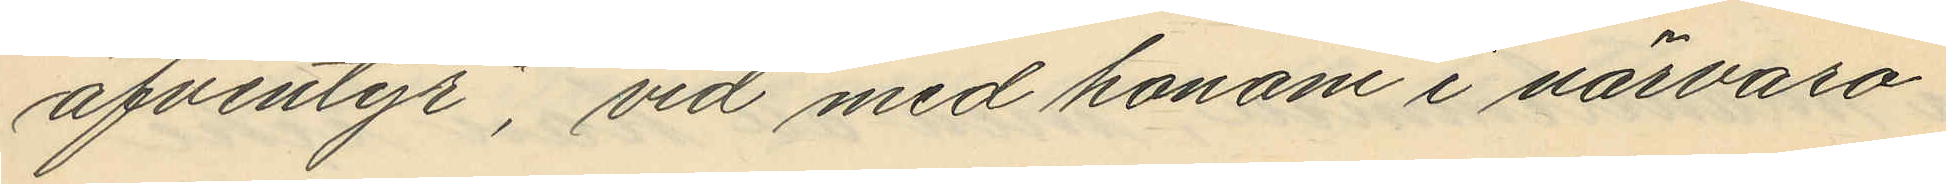äfventyr", vid med honom i närvaro
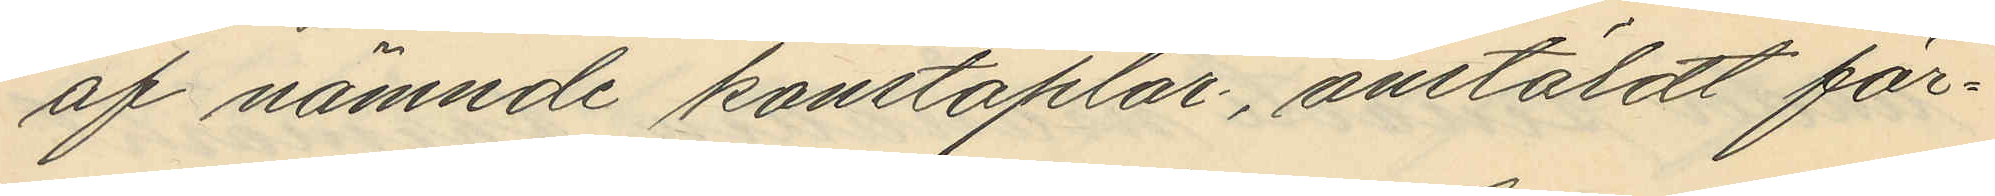af nämnde konstaplar, anstäldt för¬
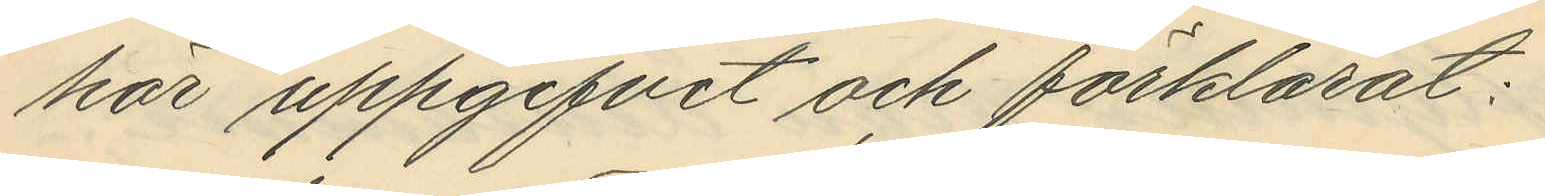hör uppgifvit och förklarat:
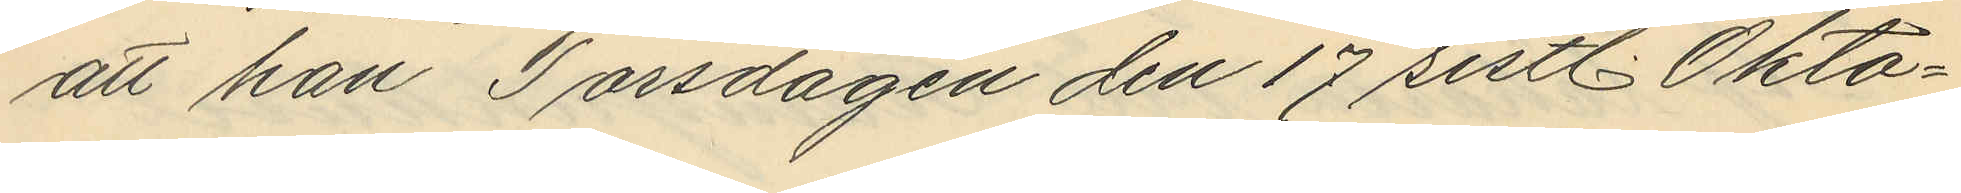att han Torsdagen den 17 sistl. Okto¬
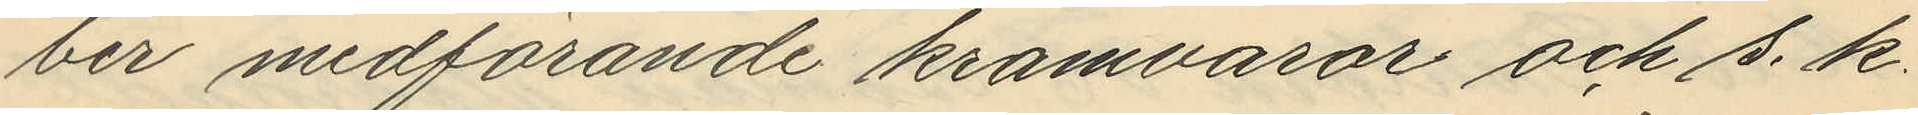ber medförande kramvaror och s. k.
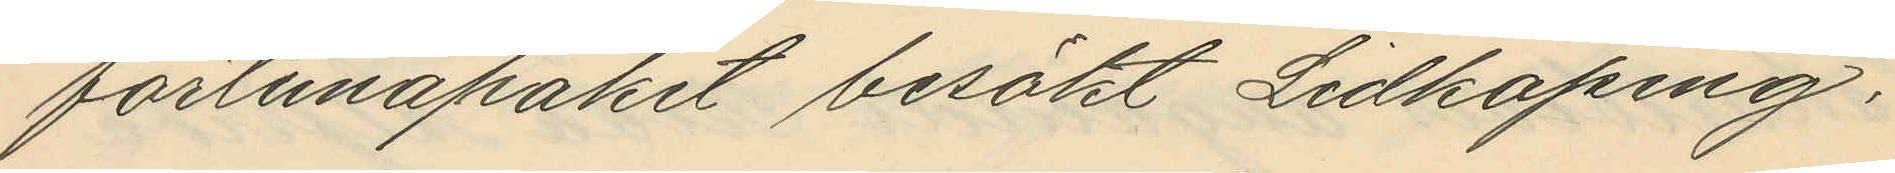fortunapaket besökt Lidköping;
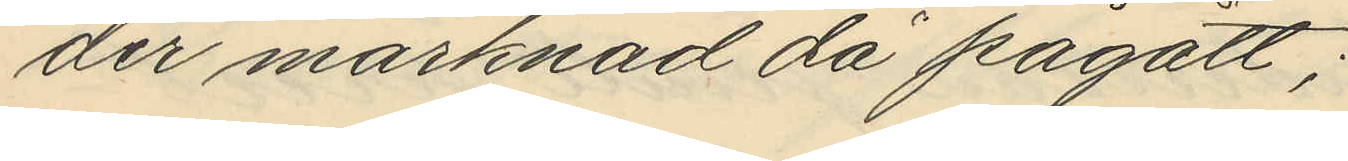der märknad då pågått;
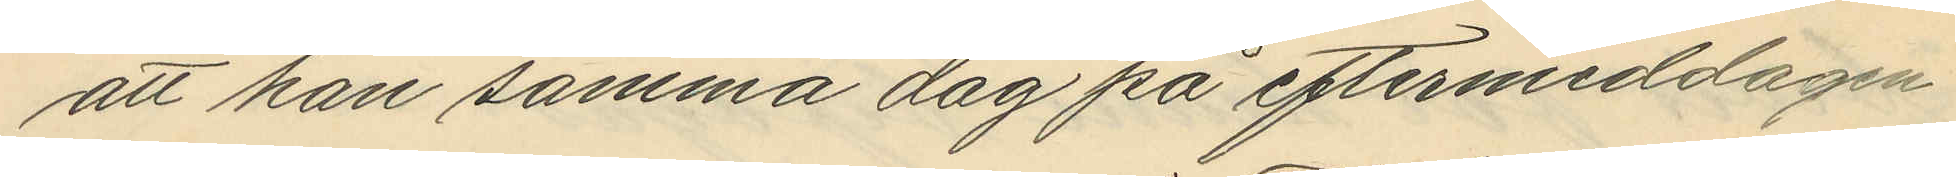att han samma dag på eftermiddagen
